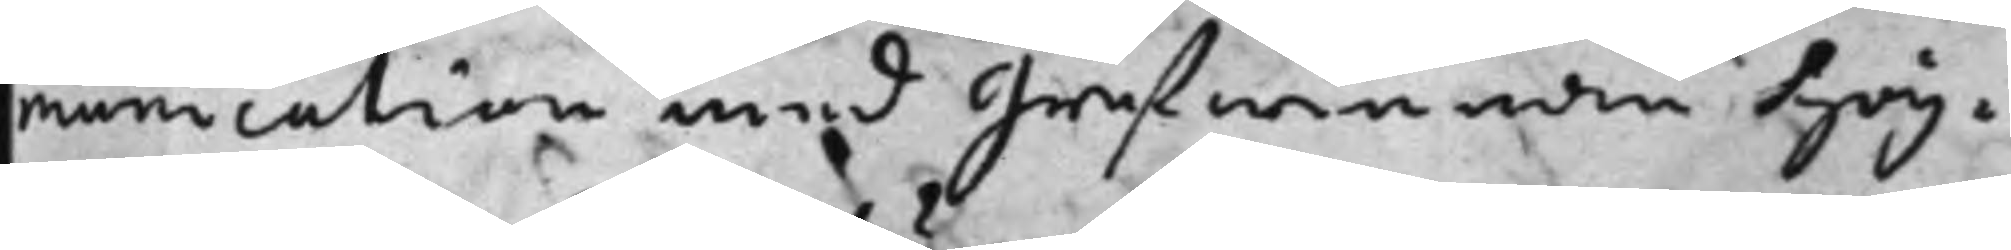munication med grefwinnan hög¬
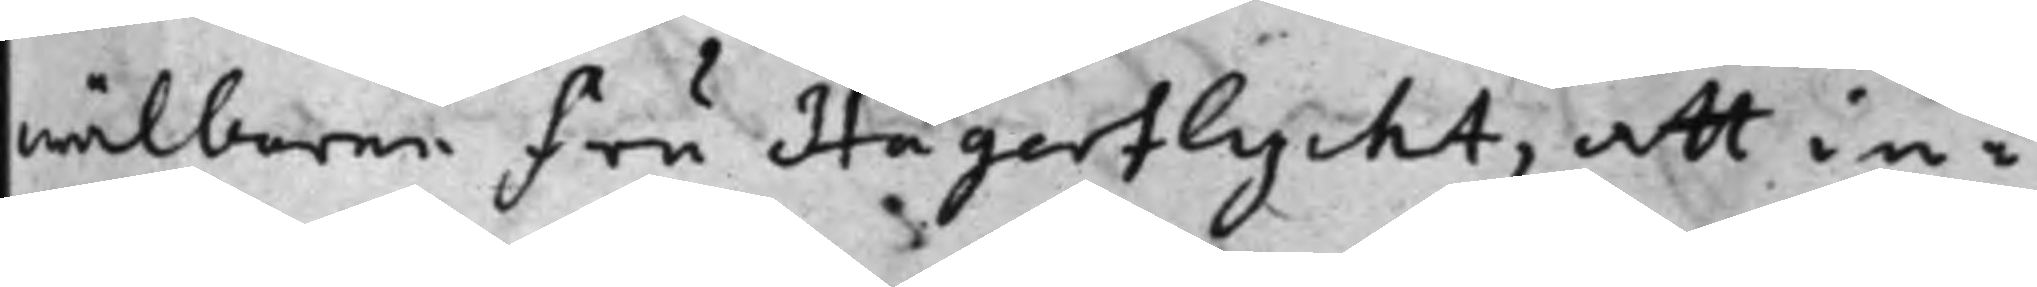wälborne fru Hägerflycht, att in¬
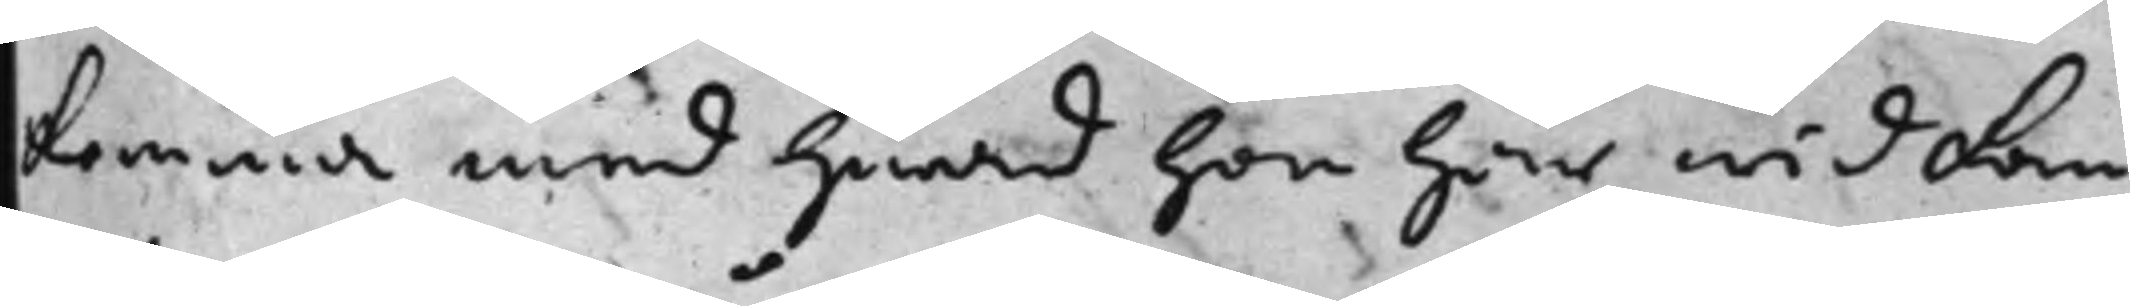komma med hwad hon här wid kan
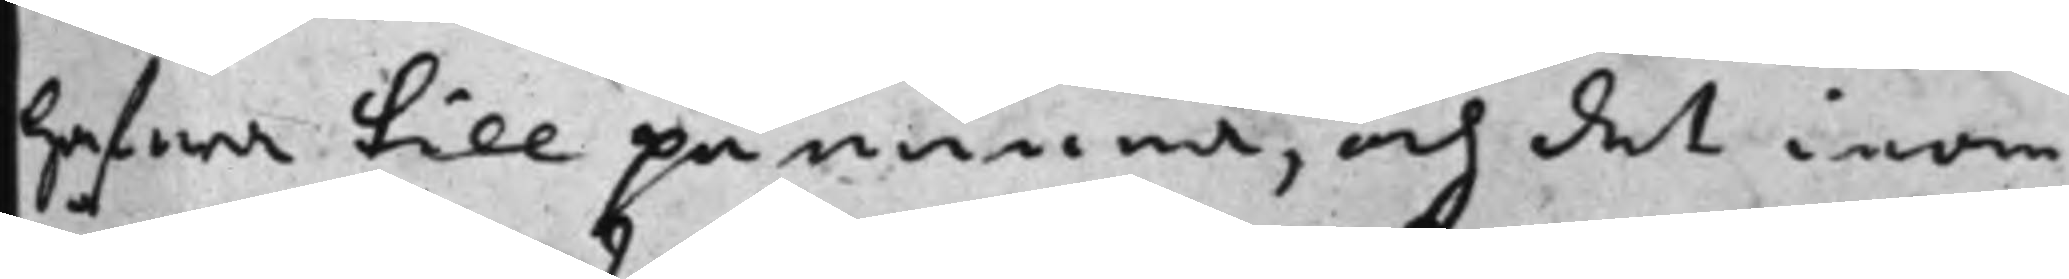hafwa till påminna, och det inom
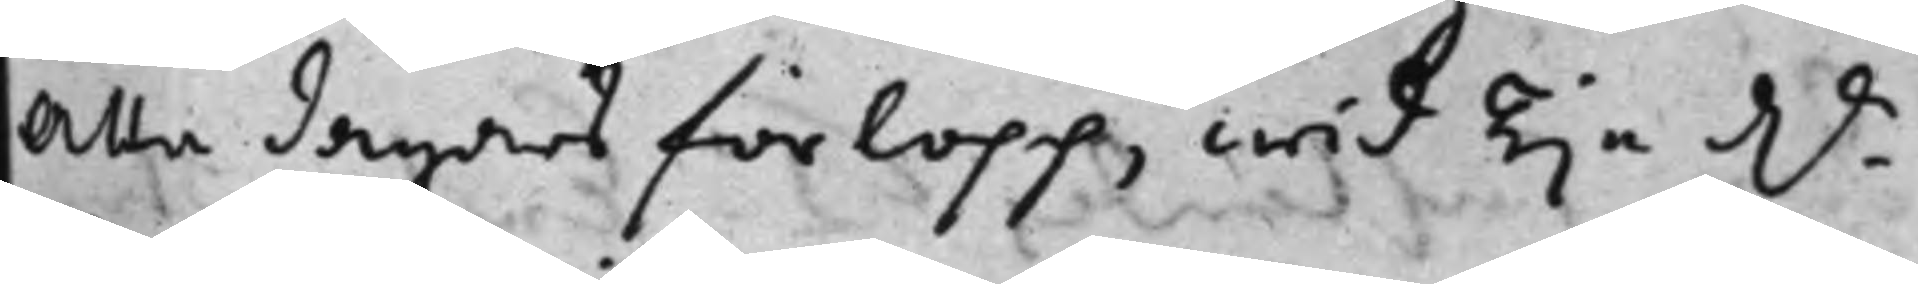Åtta dagars förlopp, wid Tije Dr -
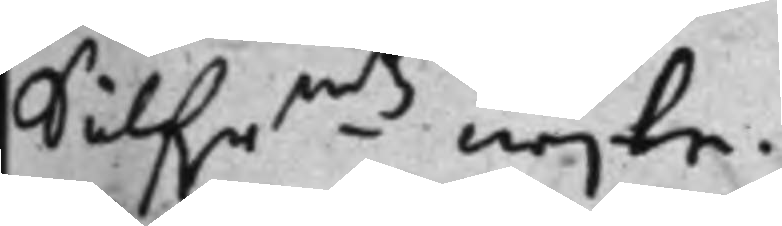Silfrmts wijte.
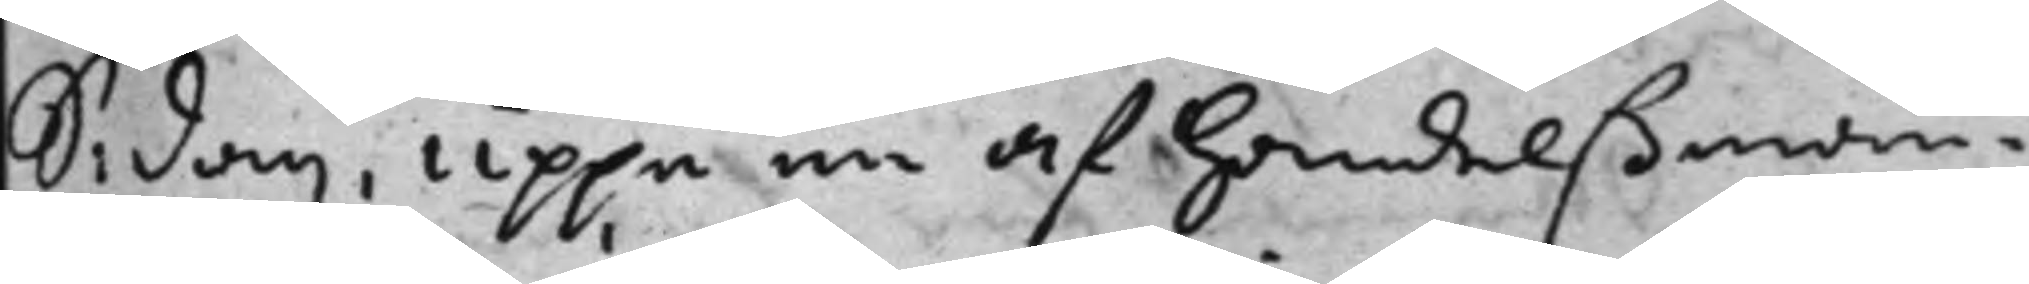S: dag uppå en af handelßman¬
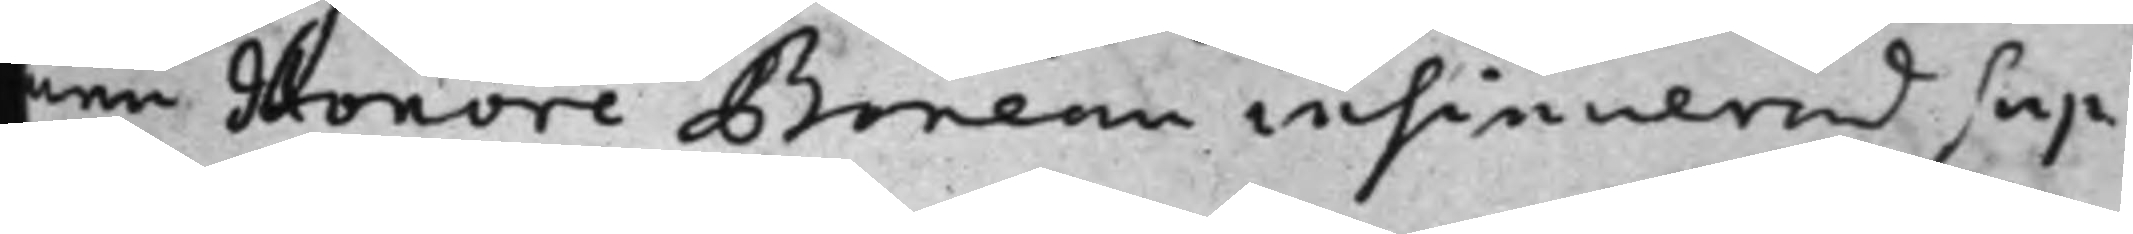nen Honoré Boneau insinuerad sup¬
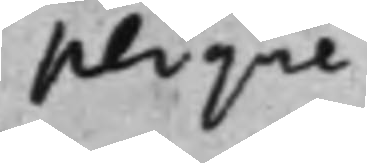plique
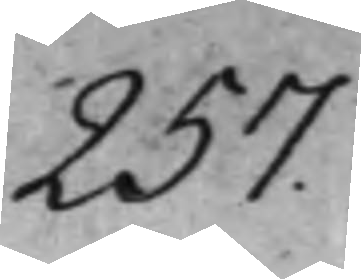257.
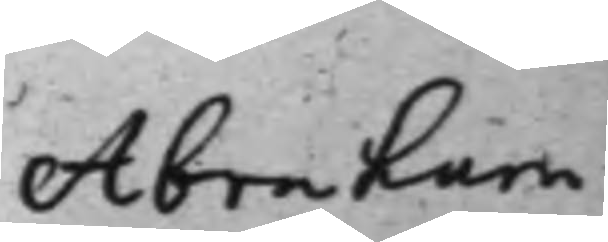Abraham
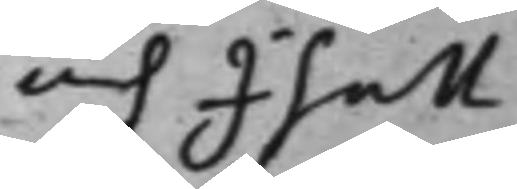och Isak
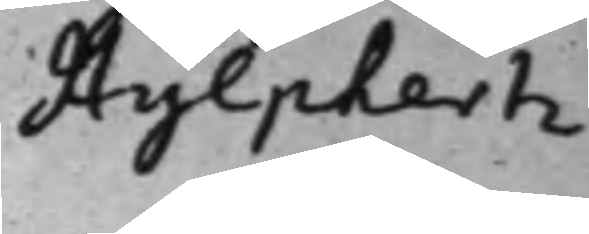Hylphertz
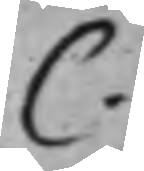C.
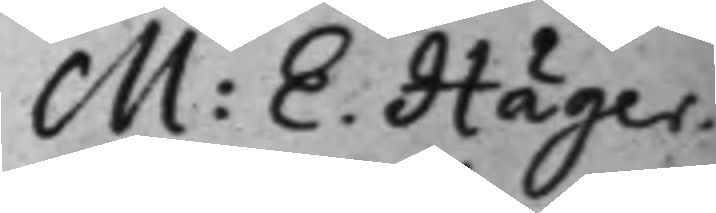M: E. Häger¬
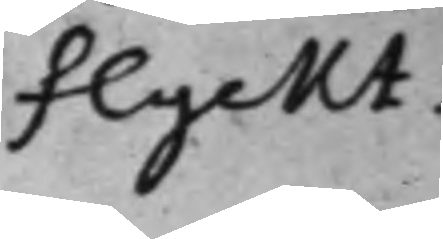flyckt.
